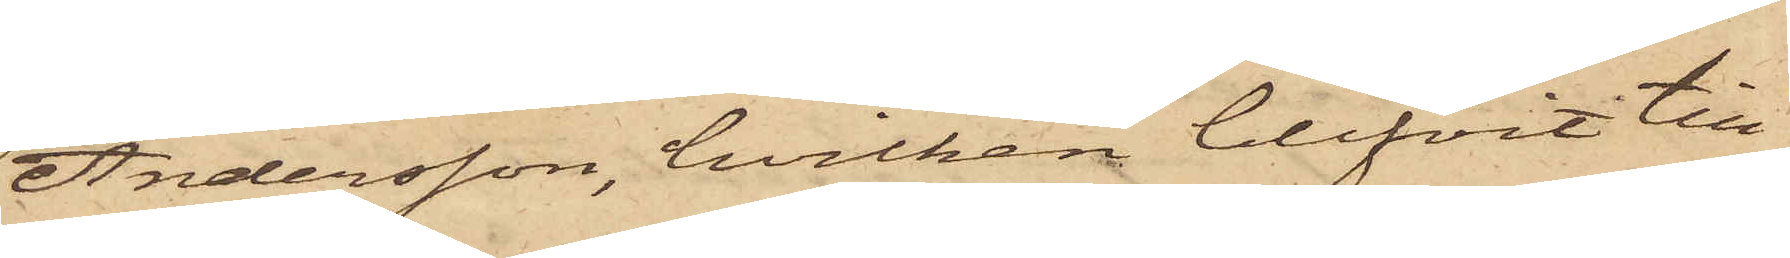Andersson, hvilken blifvit till¬
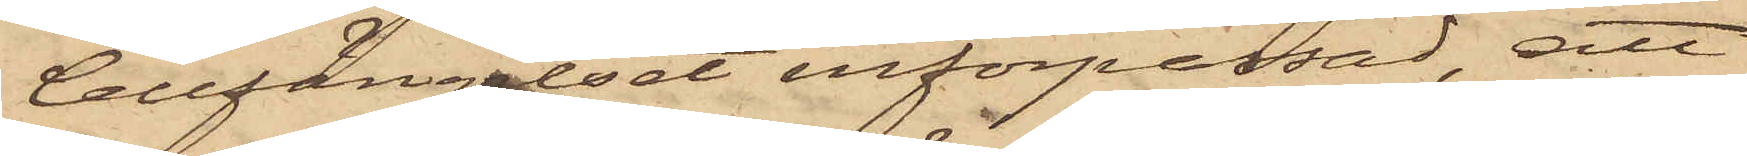Cellfängelset införpassad, att
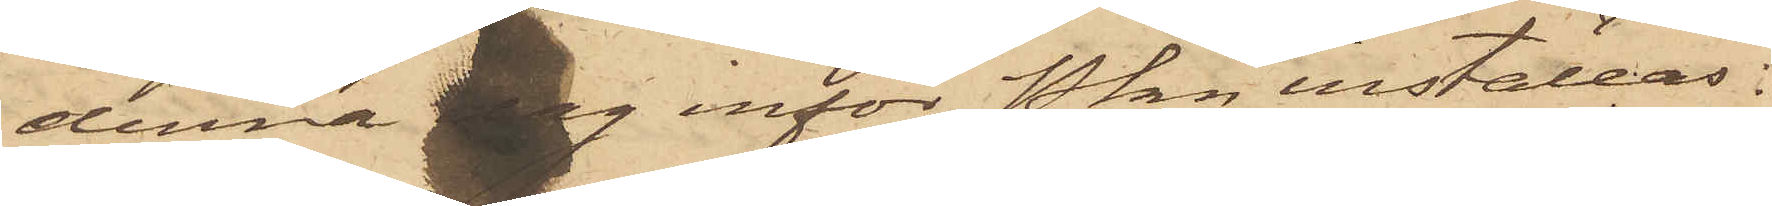denna dag inför Pkn inställas.
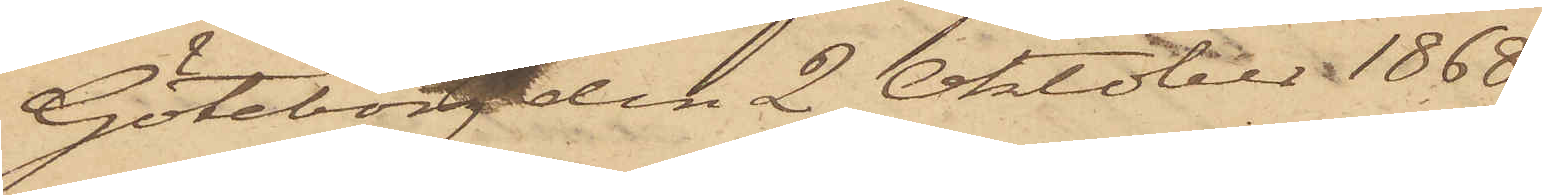Göteborg den 2 Oktober 1868.
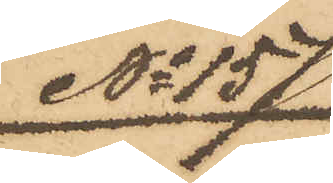No 157
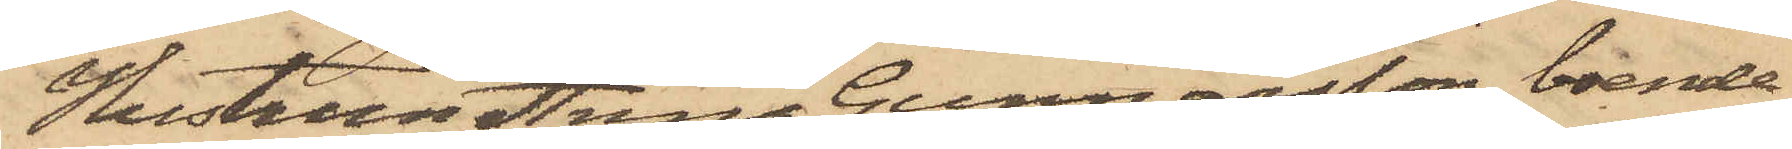Hustrun Anna Gunnarsson, boende
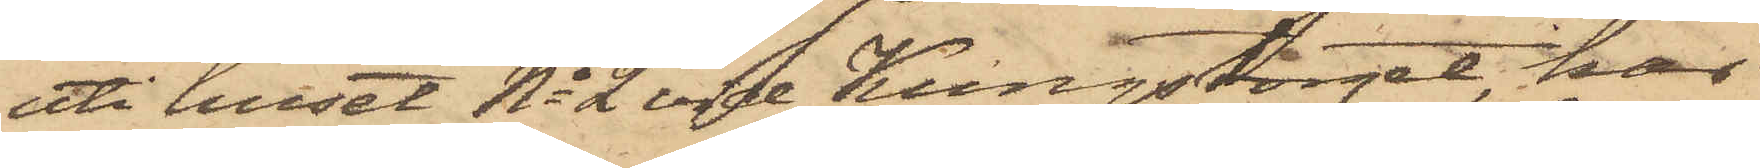uti huset No 2 vid Kungstorget, har
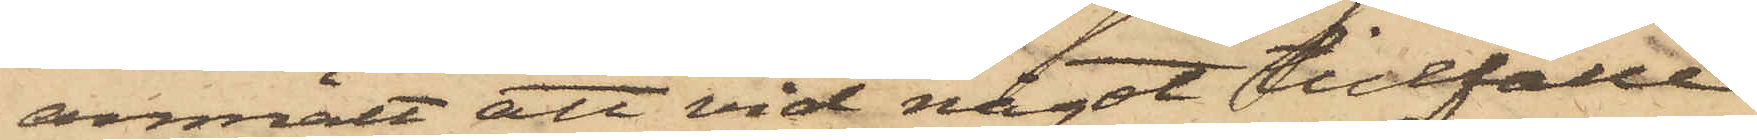anmält att vid något tillfälle
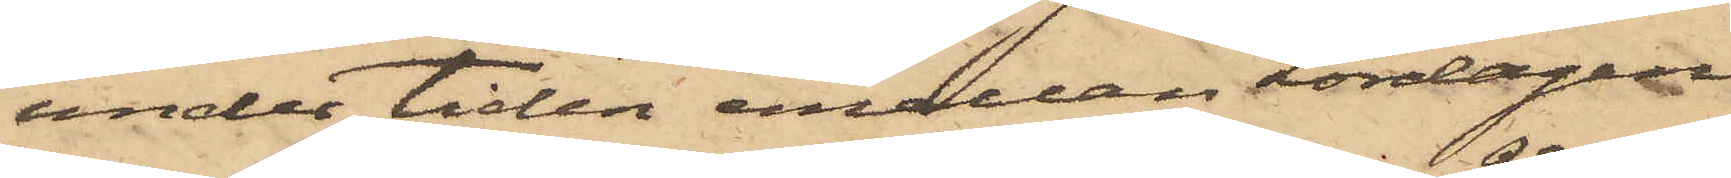under tiden emellan Lördagen
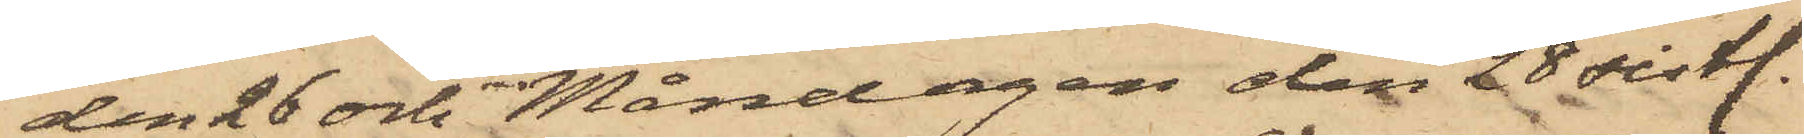den 26 och Måndagen den 28 sistl.
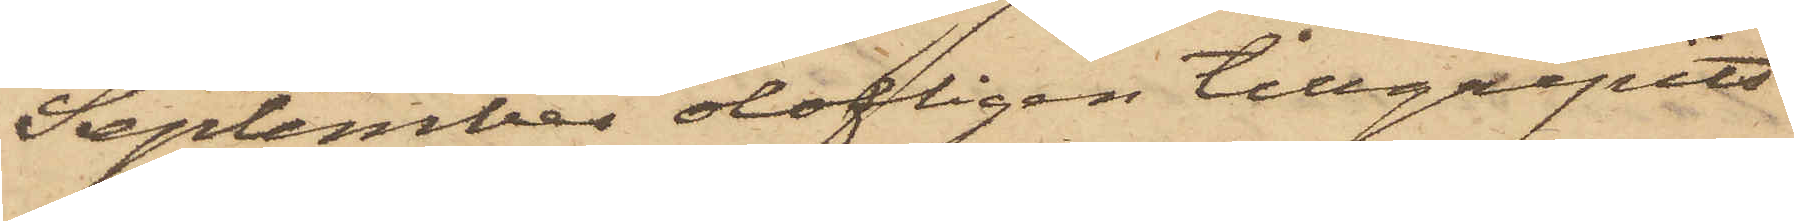September olofligen tillgripits
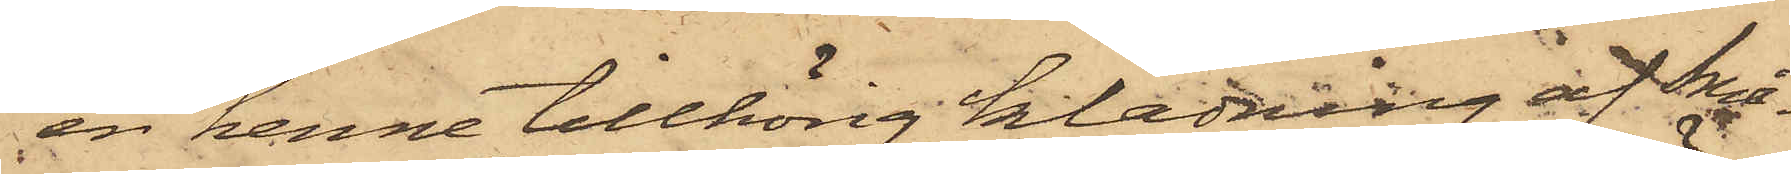en henne tillhörig klädning af Små¬
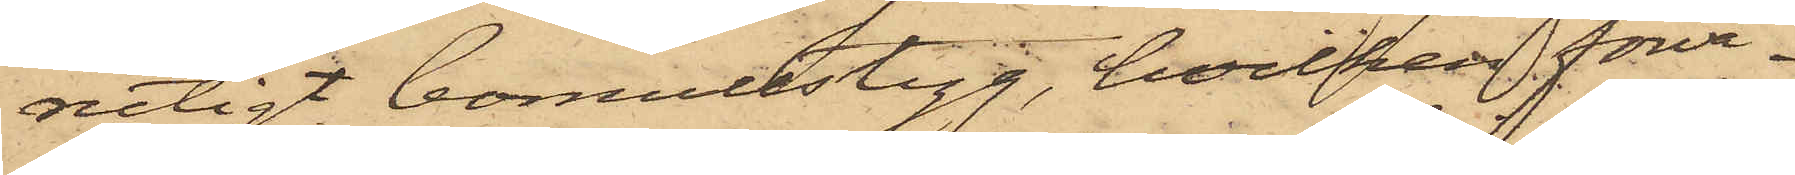rutigt bomullstyg, hvilken förva¬
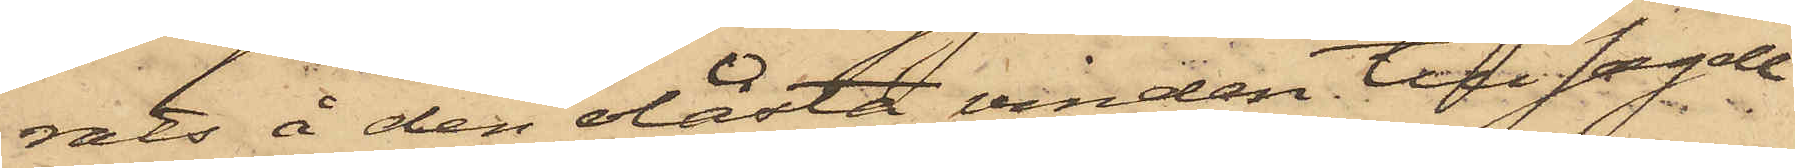rats å den olåsta vinden till sagde
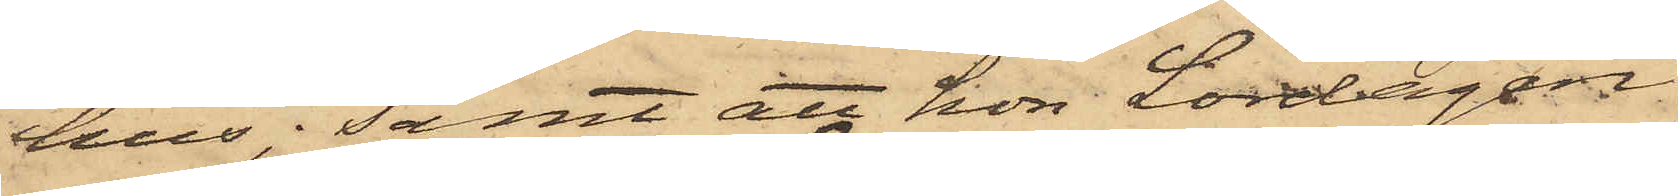hus; samt att hon Lördagen
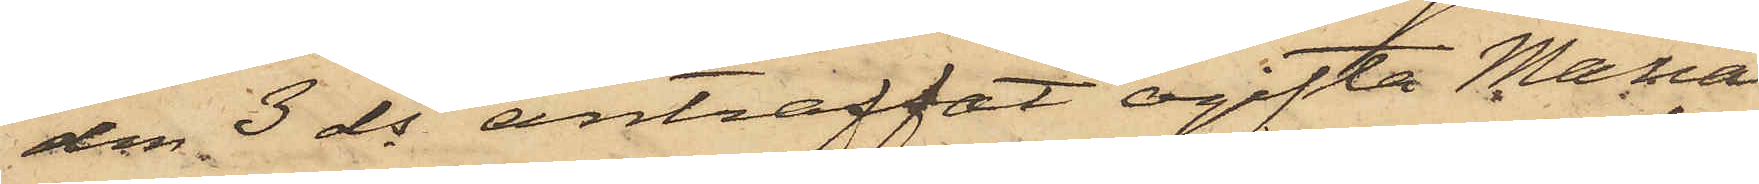den 3 ds anträffat ogifta Maria
